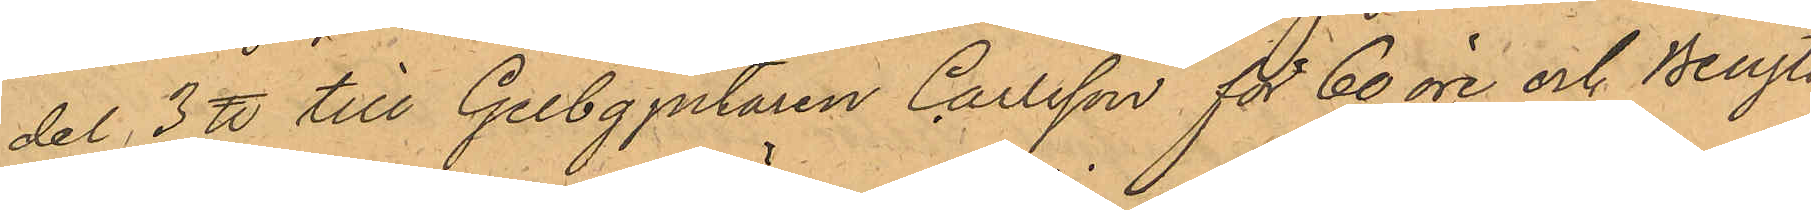del 3 ℔ till Gelbgjutaren Carlsson för 60 öre och Bengts¬
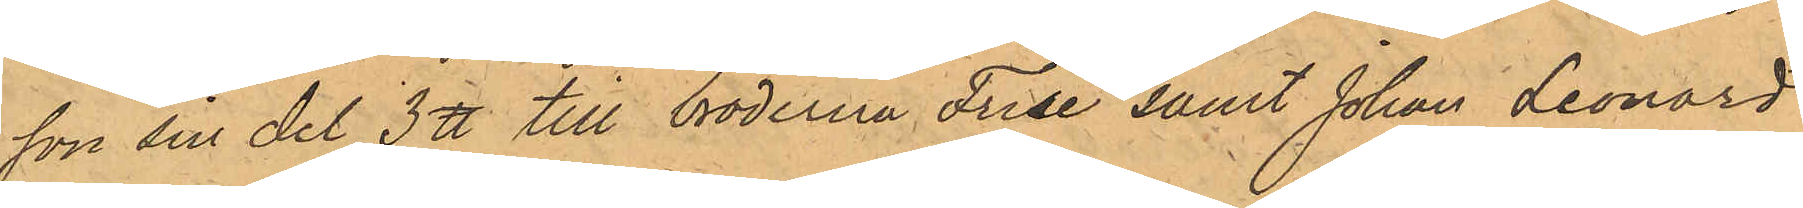son sin del 3 ℔ till bröderna Frise samt Johan Leonard
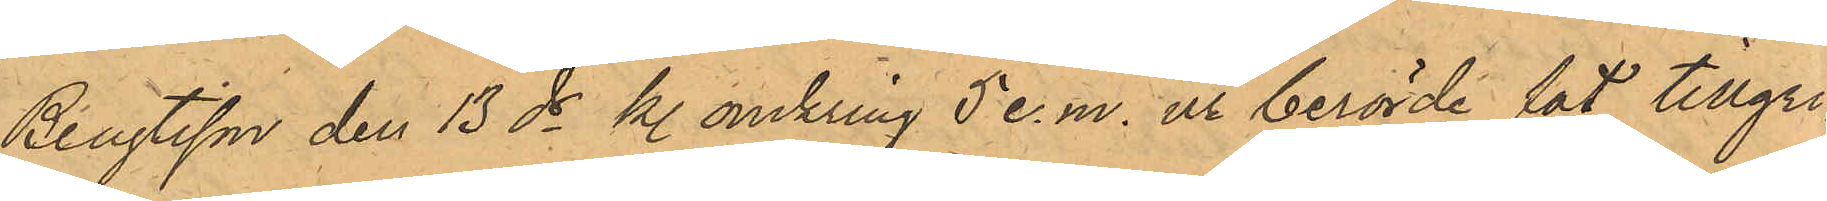Bengtsson den 13 ds kl. omkring 5 e.m. ur berörde fat tillgri¬
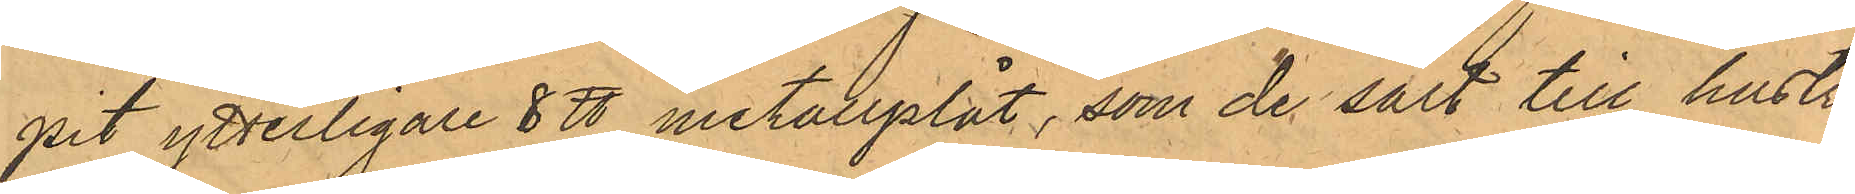pit ytterligare 8 ℔ metallplåt, som de sålt till hustru
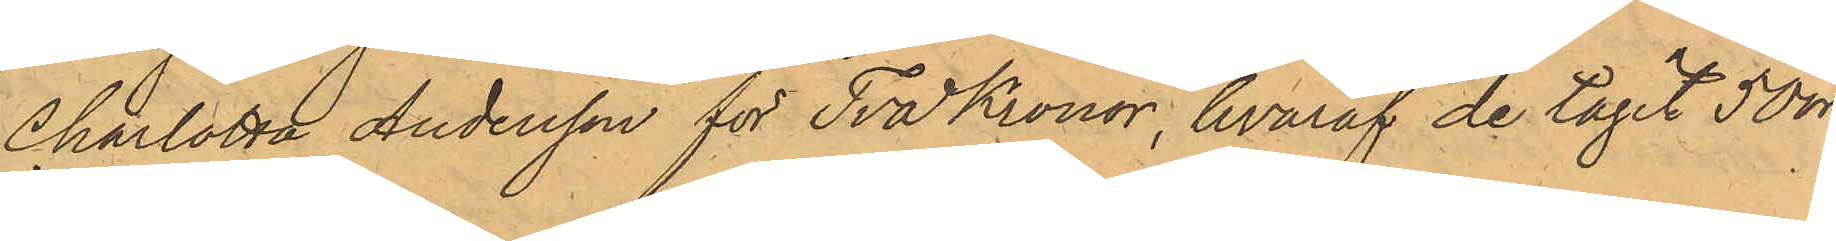Charlotta Andersson för Två Kronor, hvaraf de tagit 50 öre
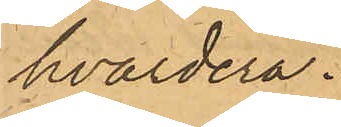hvardera.
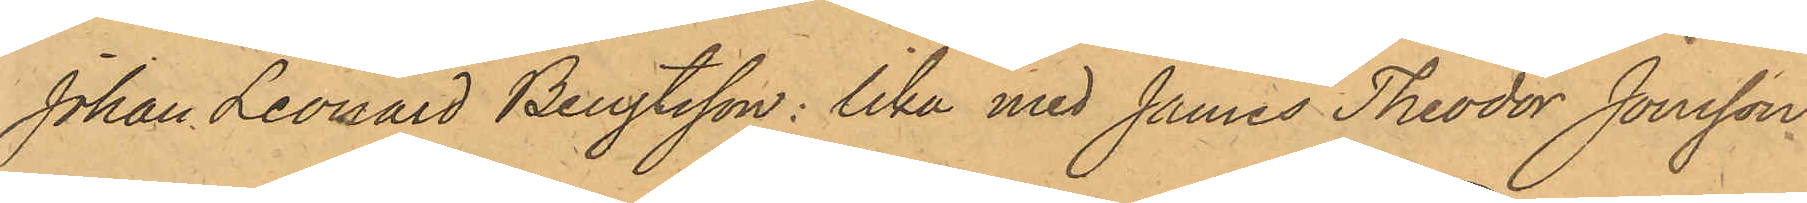Johan Leonard Bengtsson: Lika med James Theodor Jonsson
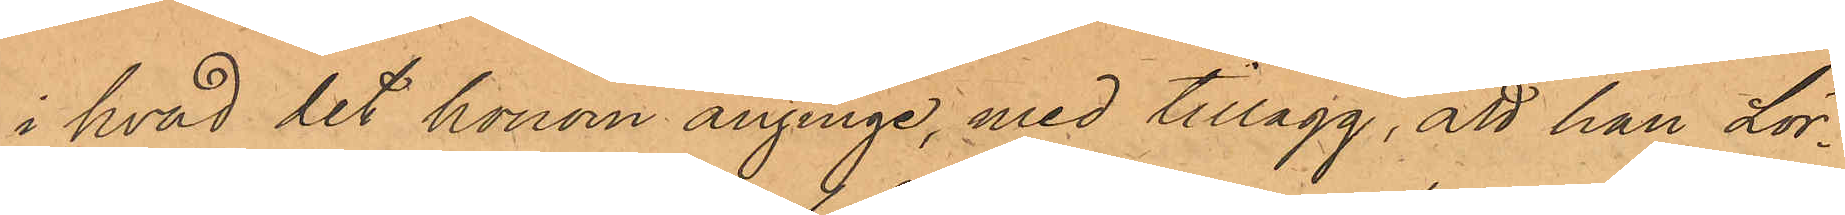i hvad det honom anginge, med tillägg, att han Lör¬
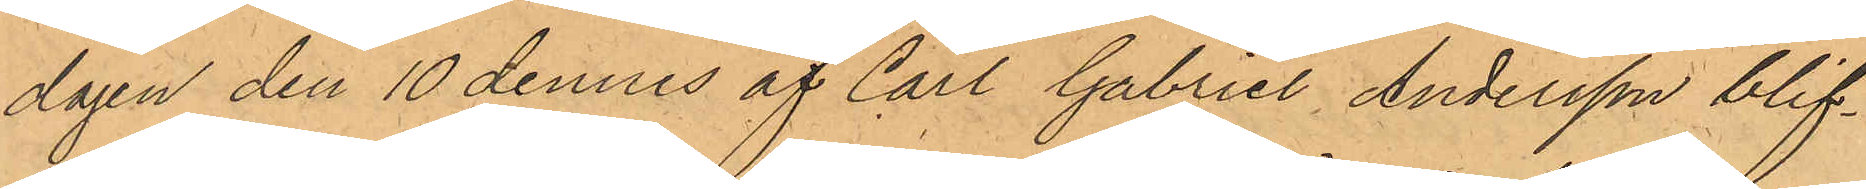dagen den 10 dennes af Carl Gabriel Andersson blif¬
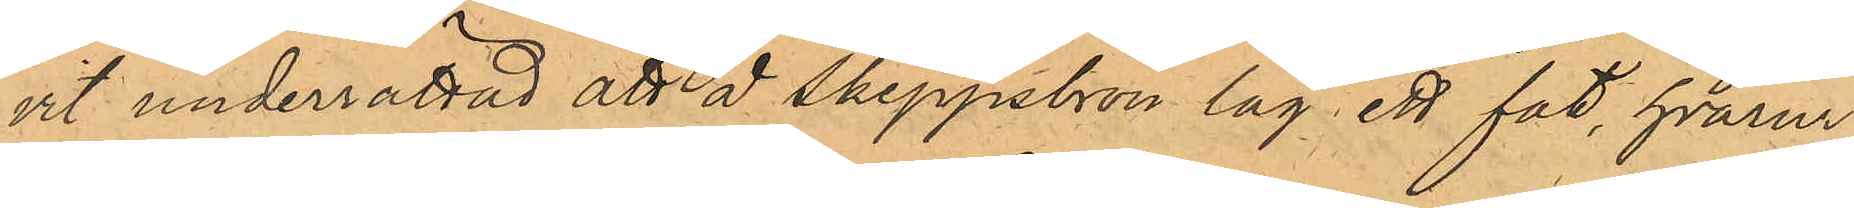vit underrättad att å Skeppsbron låg ett fat, hvarur
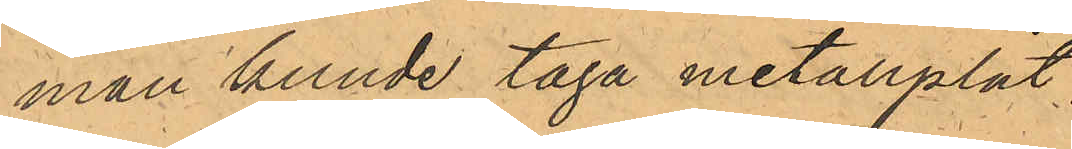man kunde taga metallplåt.
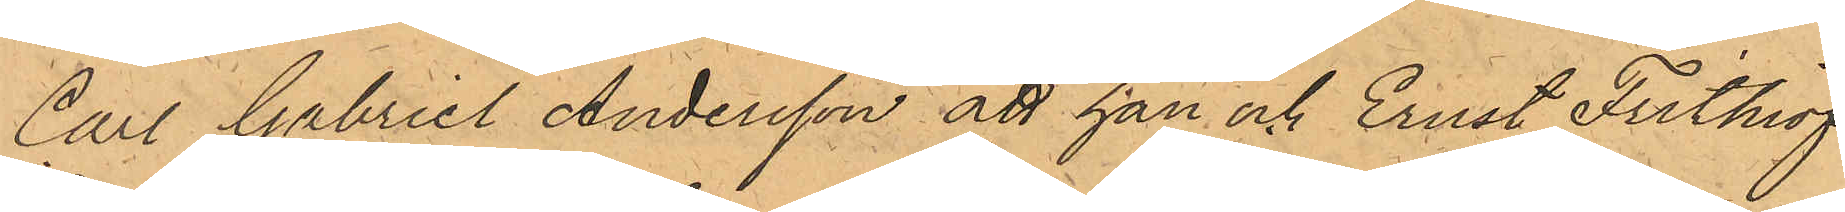Carl Gabriel Andersson att han och Ernst Frithiof
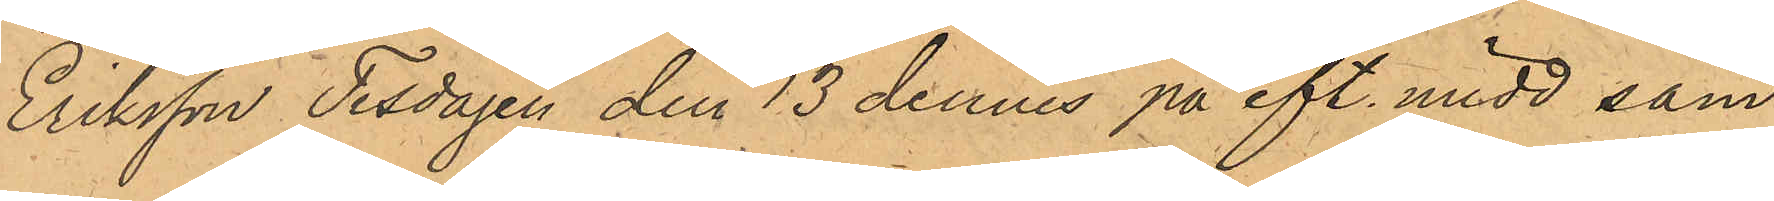Eriksson Tisdagen den 13 dennes på eft. midd sam¬
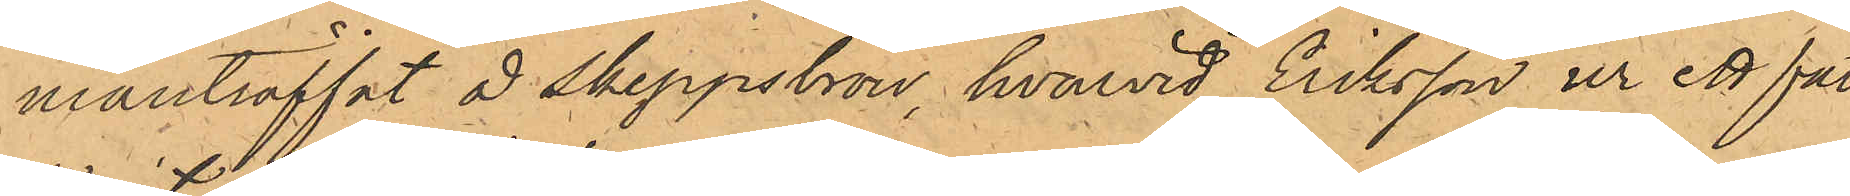manträffat å Skeppsbron, hvarvid Eriksson ur ett fat
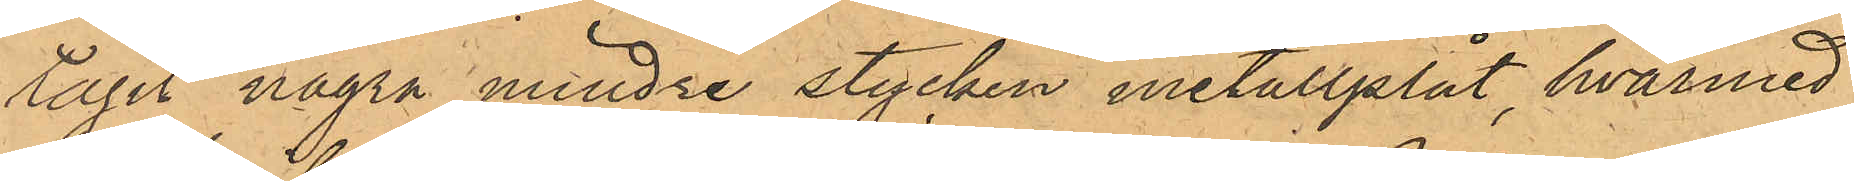tagit några mindre stycken metallplåt, hvarmed
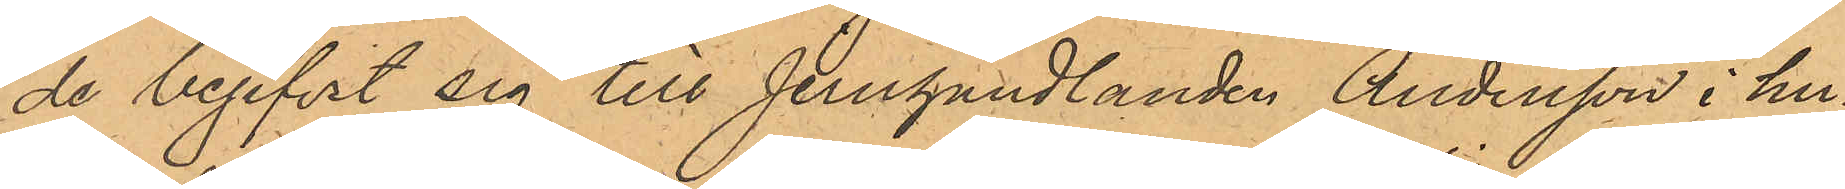de begifvit sig till Jernhandlanden Andersson i hus¬
